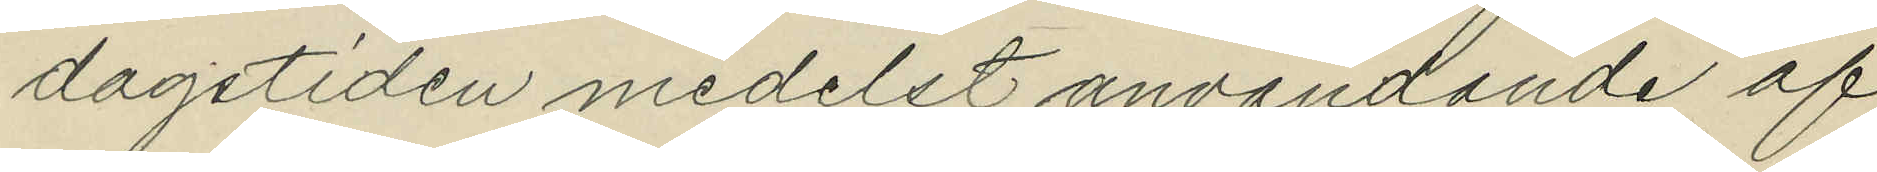dagstiden medelst anvandande af
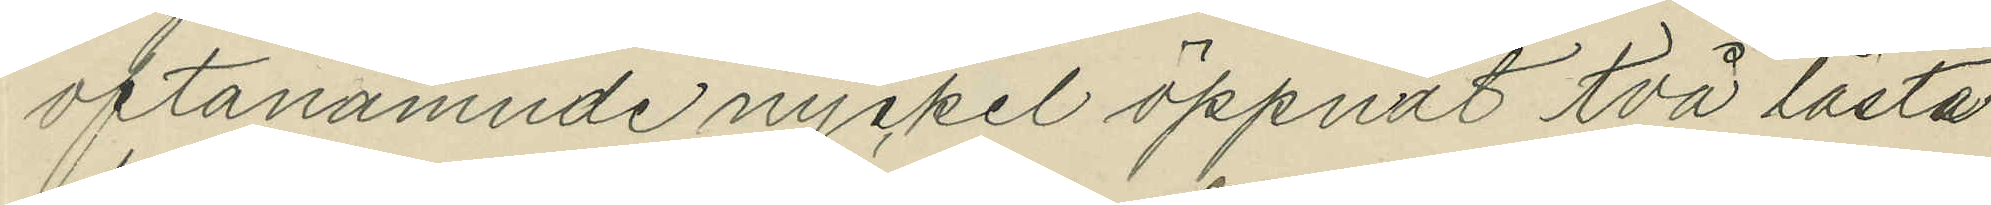oftanämnde nyckel öppnat två låsta
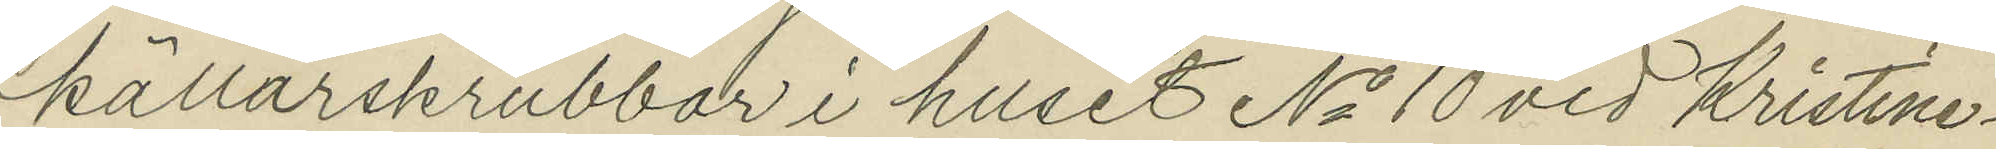källarskrubbar i huset No 10 vid Kristine¬
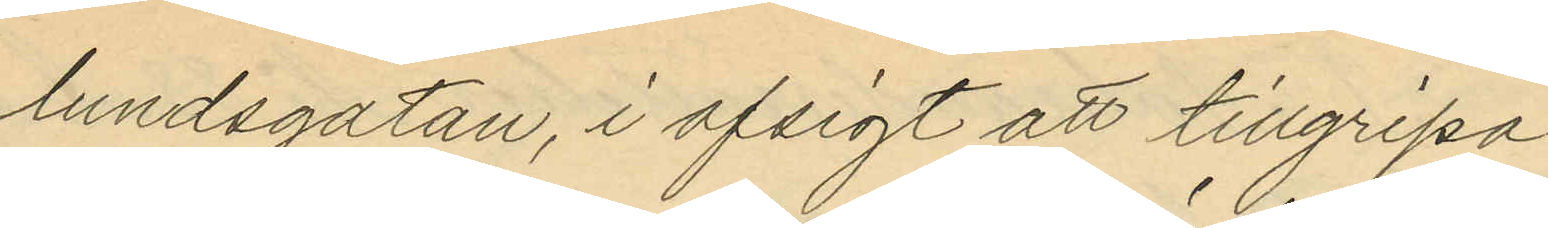lundsgatan, i afsigt att tillgripa
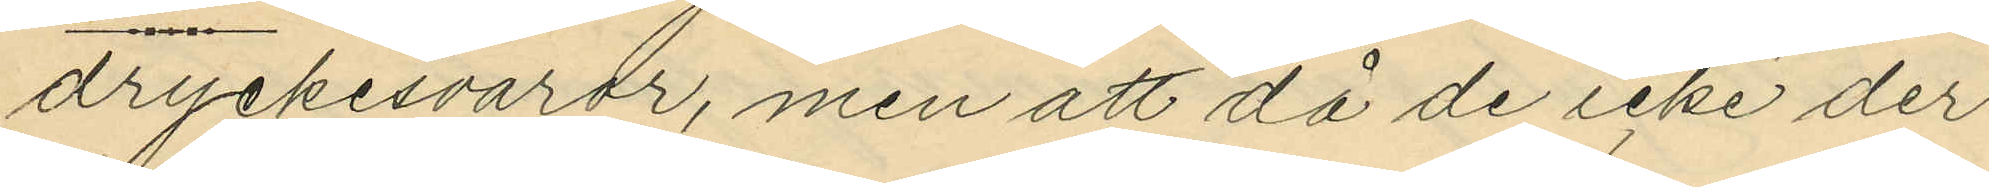dryckesvaror, men att då de icke der
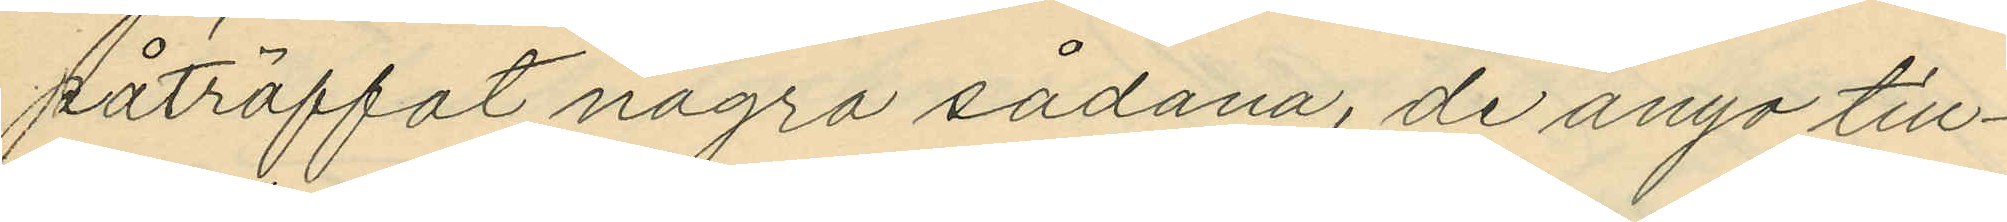påträffat några sådana, de anyo till¬
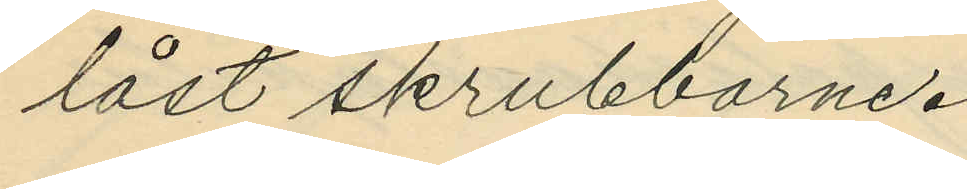låst skrubbarne.
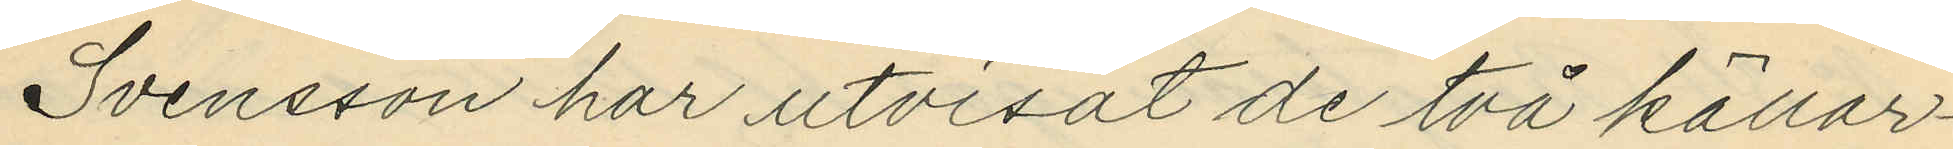Svensson har utvisat de två källar¬
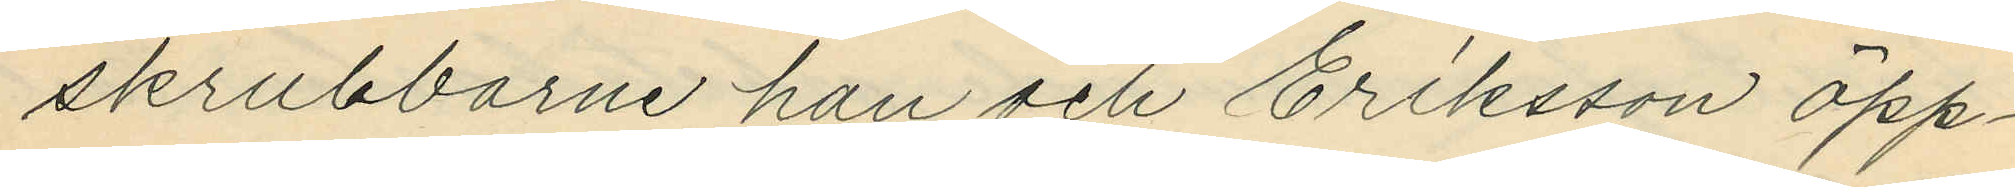skrubbarne han och Eriksson öpp¬
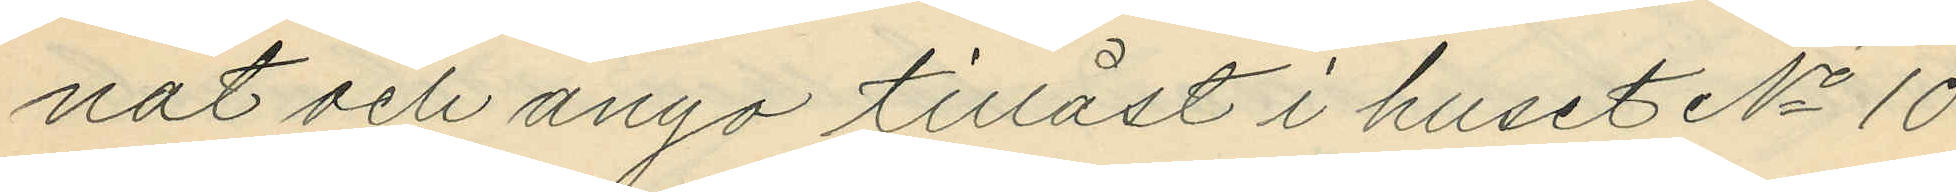nat och ånyo tillåst i huset No 10
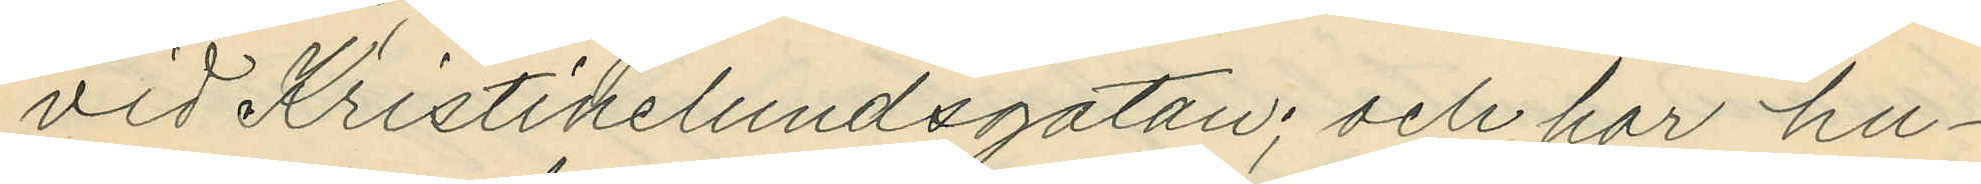vid Kristinelundsgatan; och har hu¬
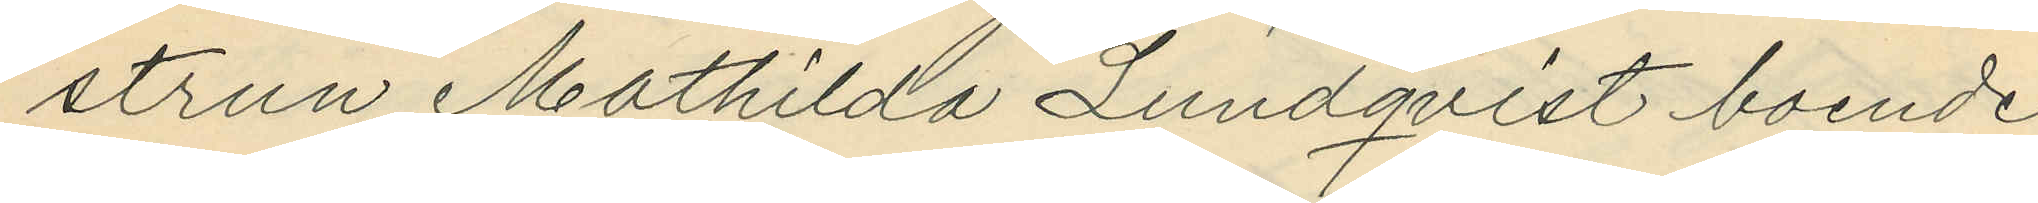strun Mathilda Lundqvist boende
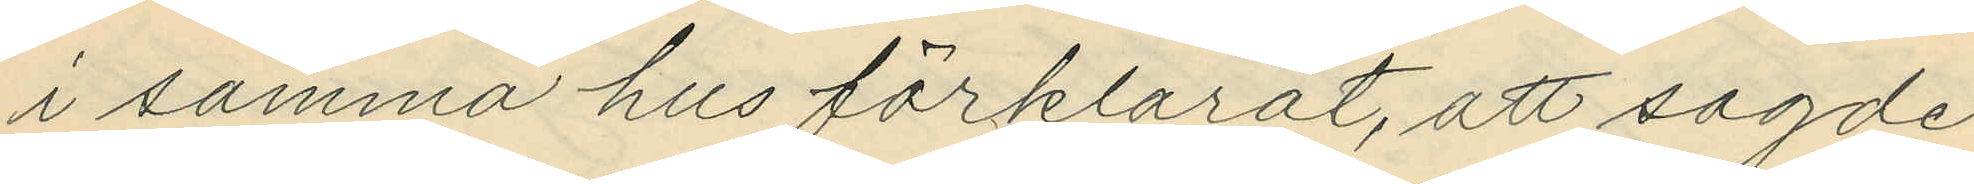i samma hus förklarat, att sagde
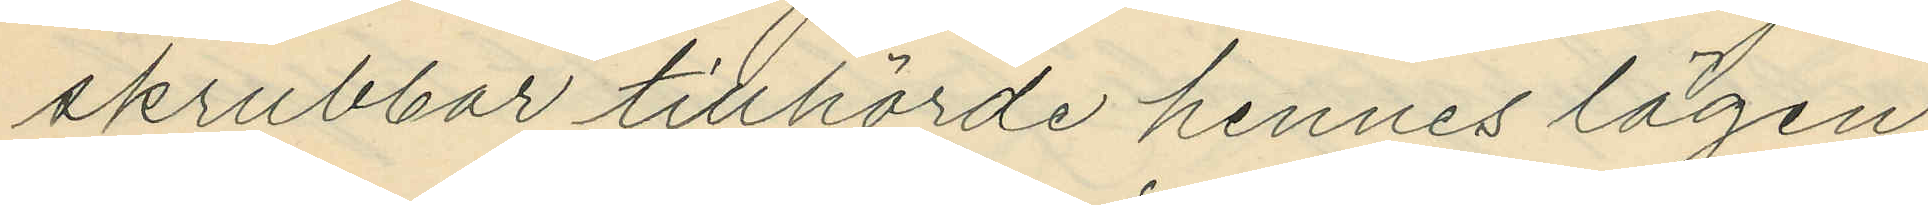skrubbar tillhörde hennes lägen¬
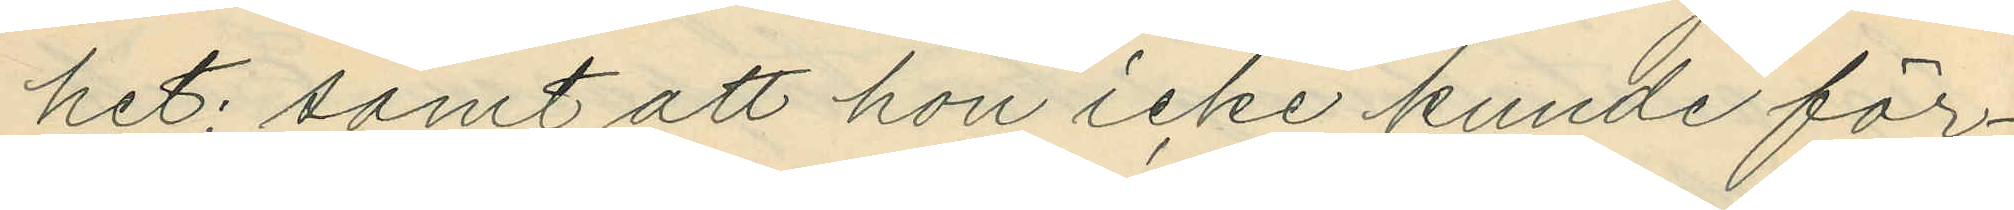het; samt att hon icke kunde för¬
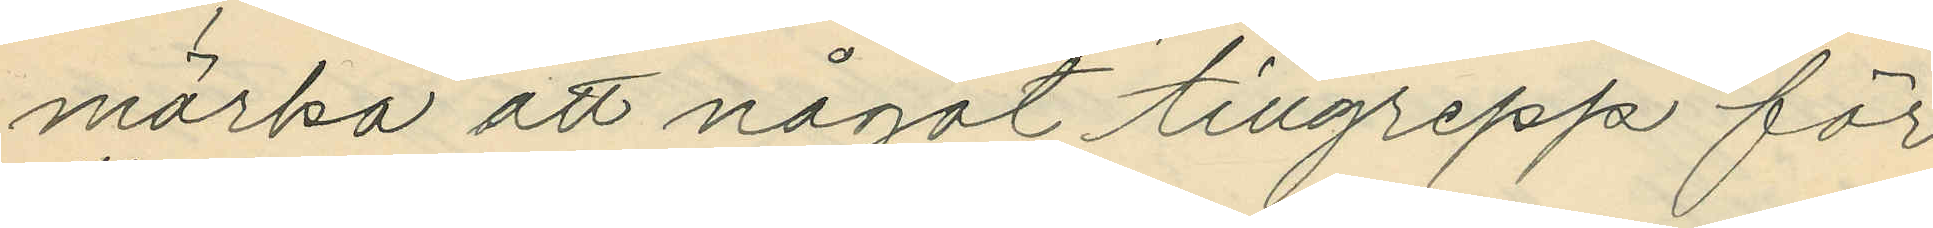märka att något tillgrepp för¬
